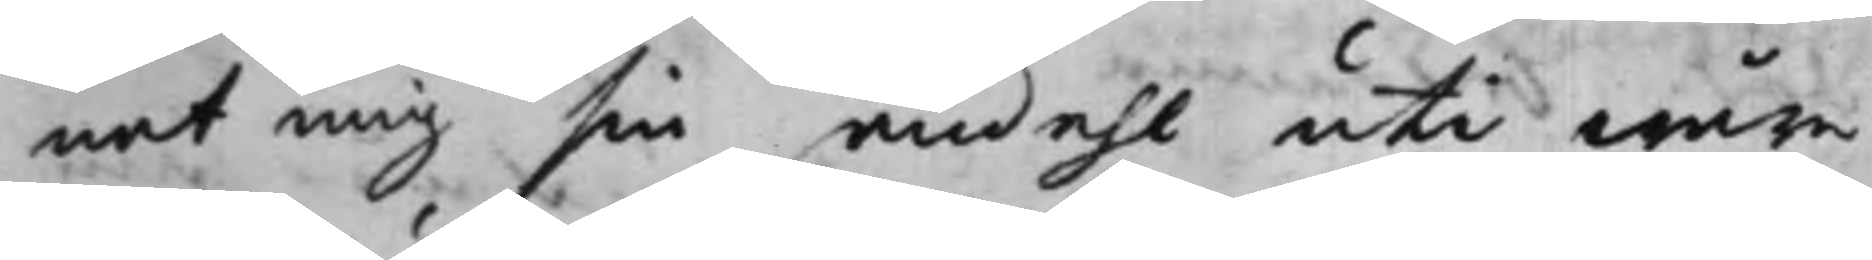nat mig sin andehl uti wåre
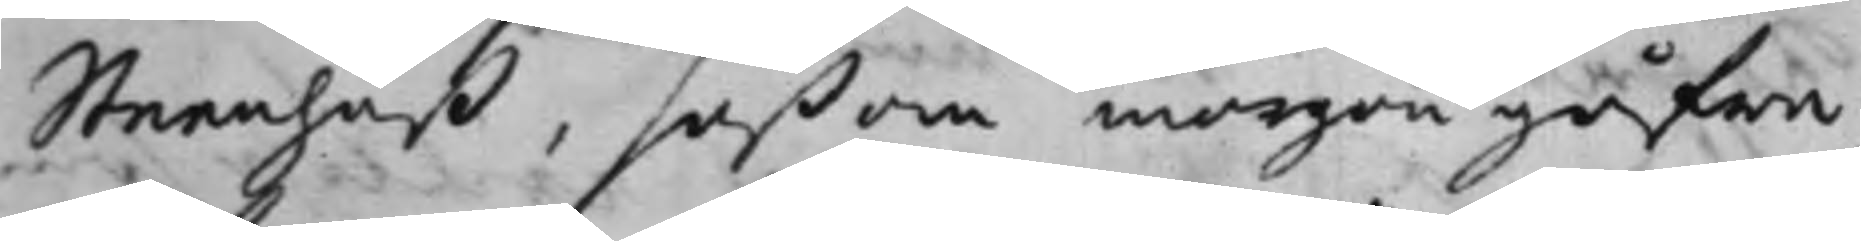Steenhuß, såßom morgongåfwa,
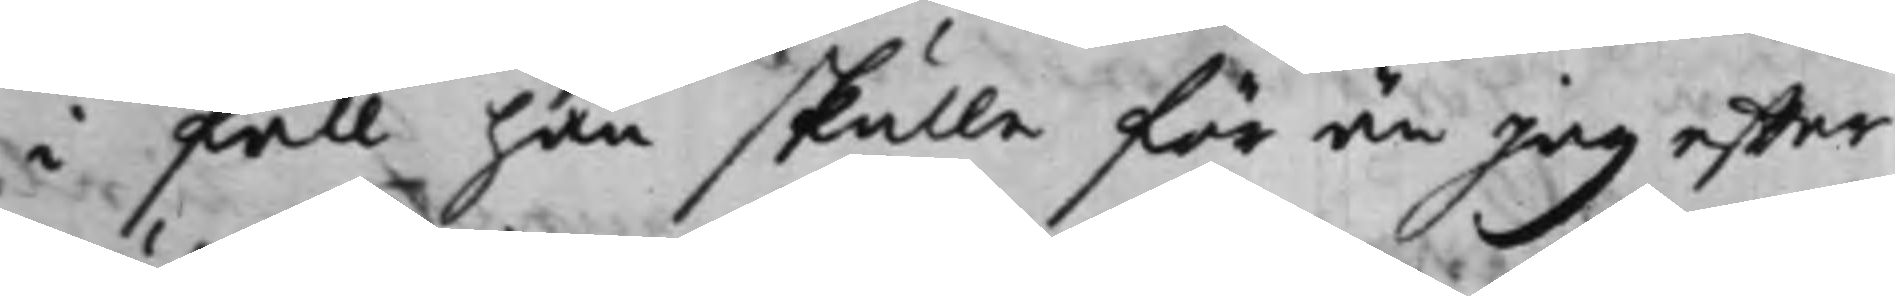i fall han skulle för än Jag effter
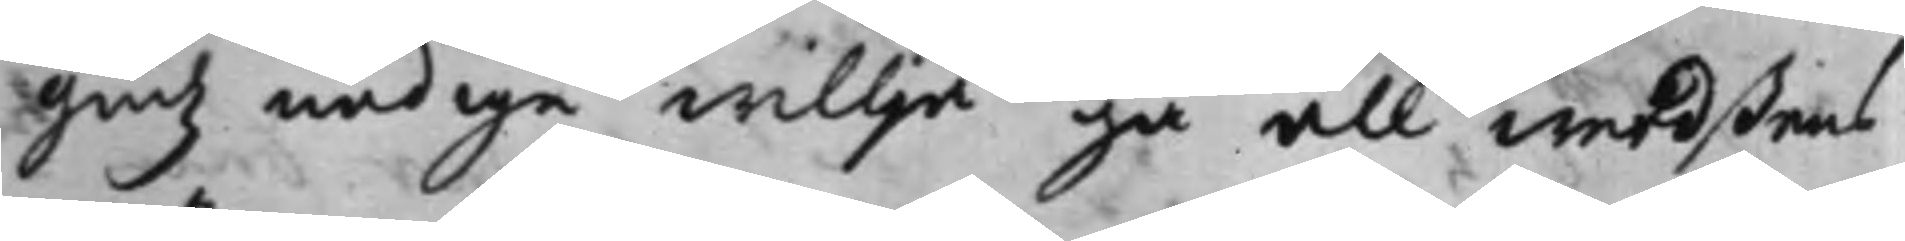Gudz nådige willja gå all werdßens
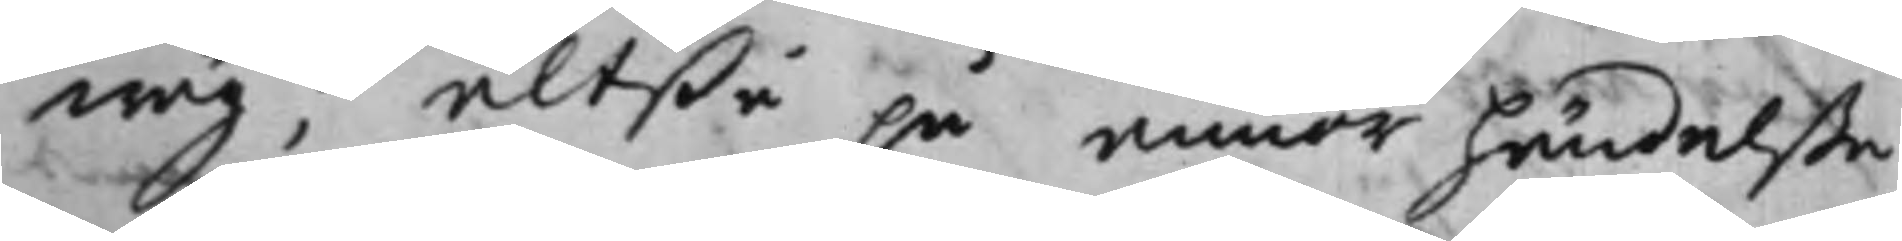wäg; altßå på annor händelße,
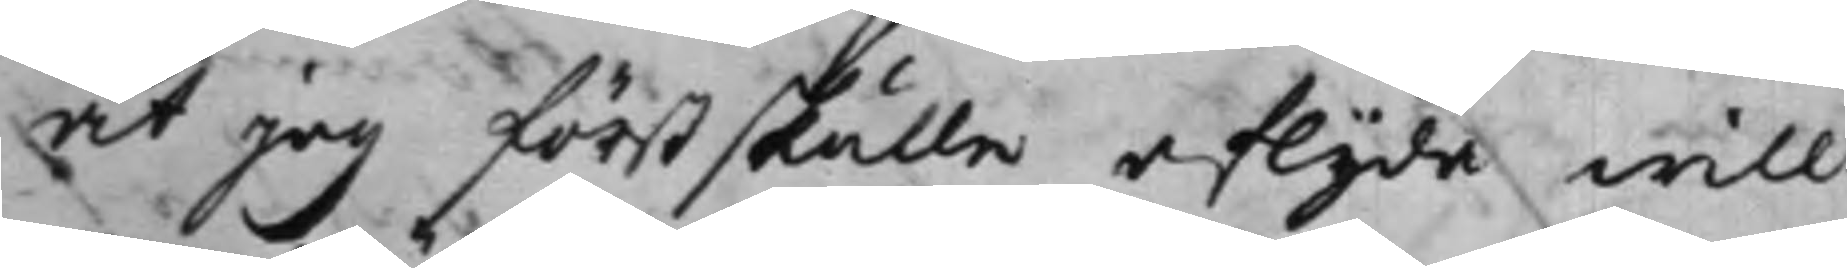at jag först skulle aflijda will
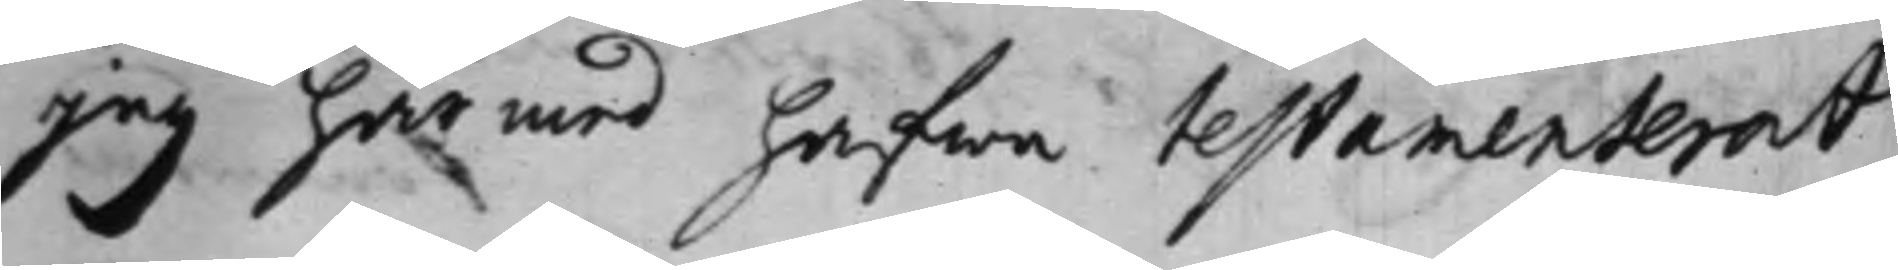jag härmed hafwa testamenterat
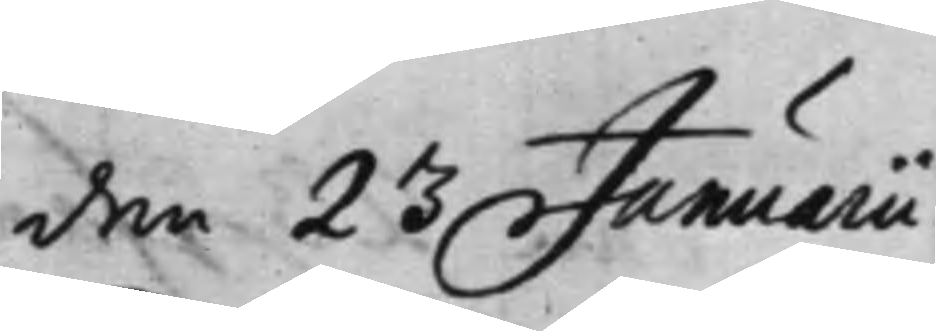den 23 Januarii.
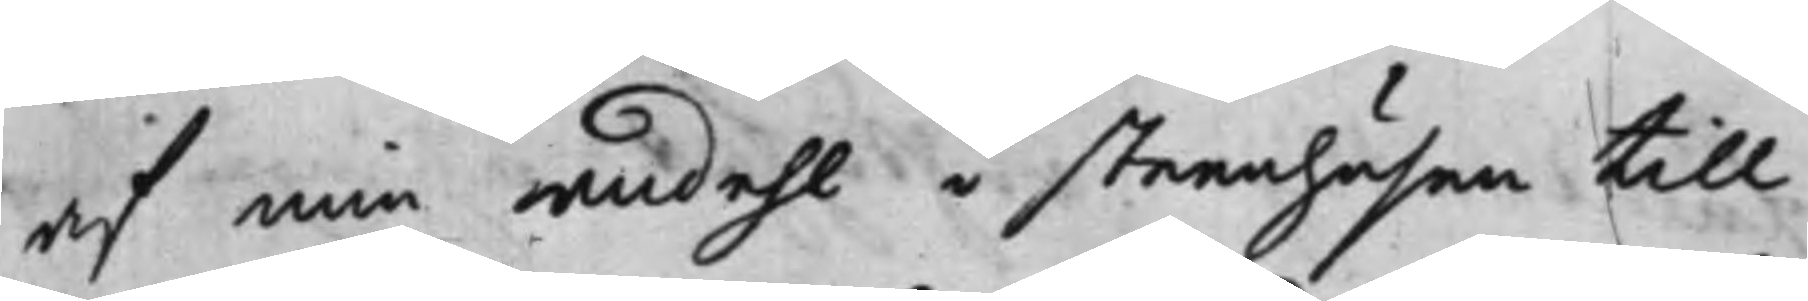af min andehl i steenhusen till
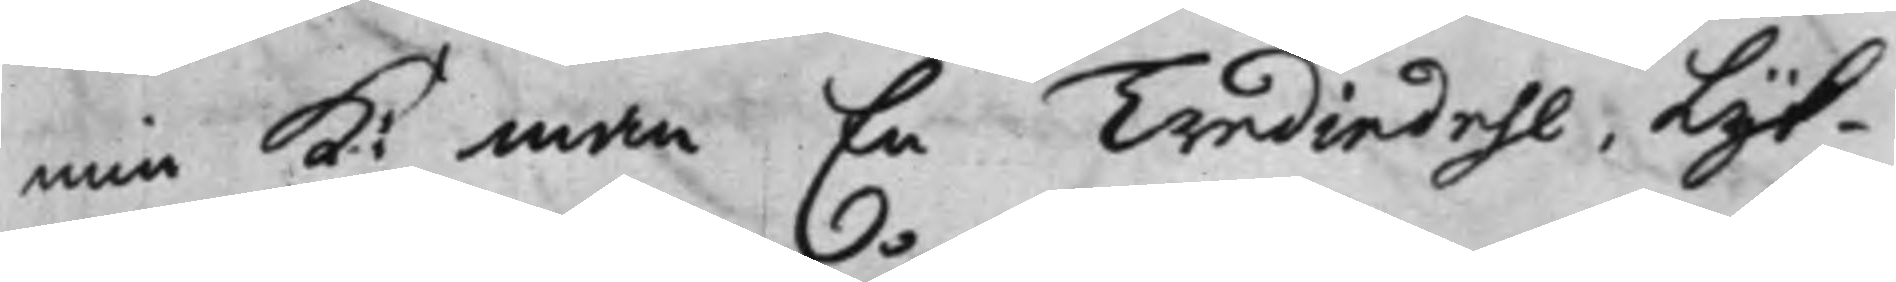min K: man En Trediedehl, Lijk¬
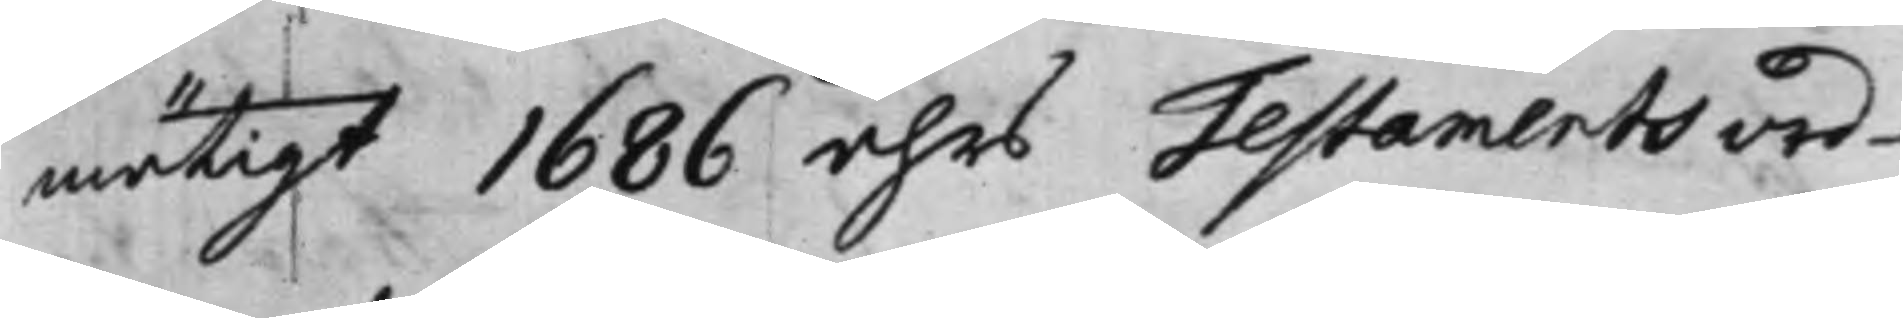mätigt 1686 åhrs Testamentsord¬
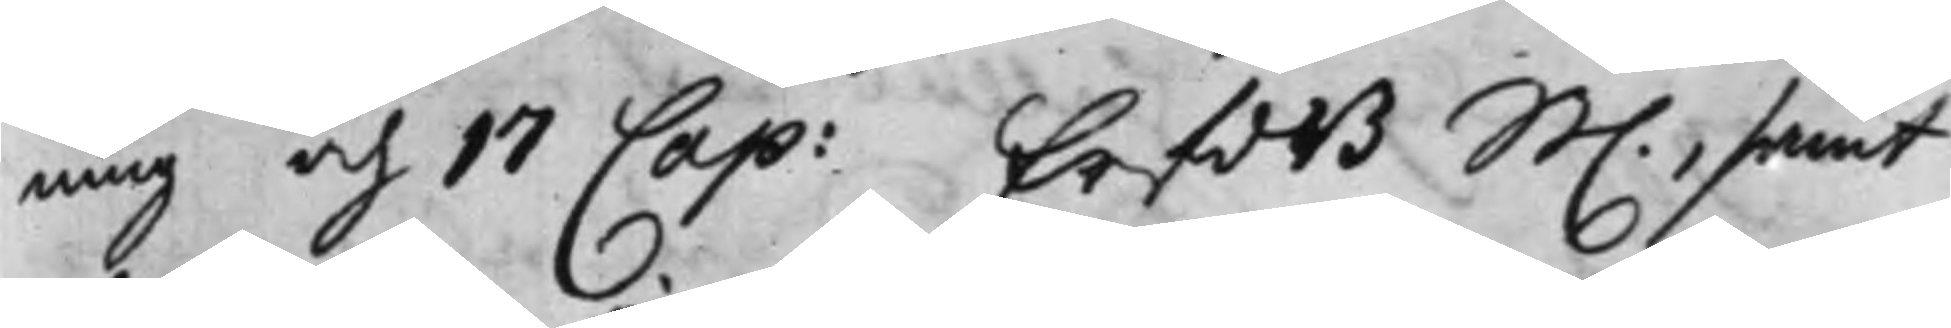ning och 17 Cap: ErfdB. St., samt
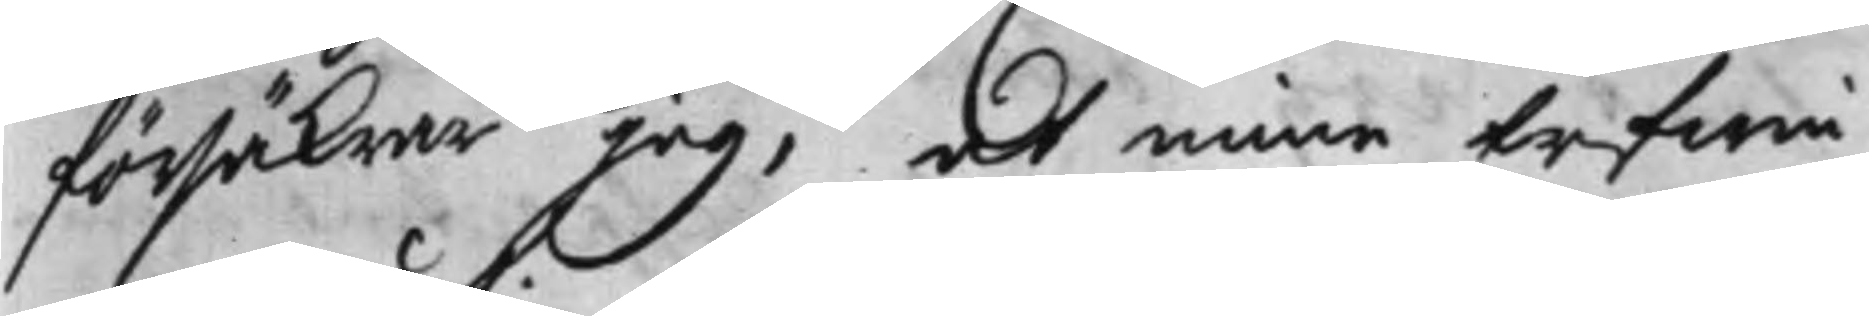försäkrar Jag, at mine Erfwin¬
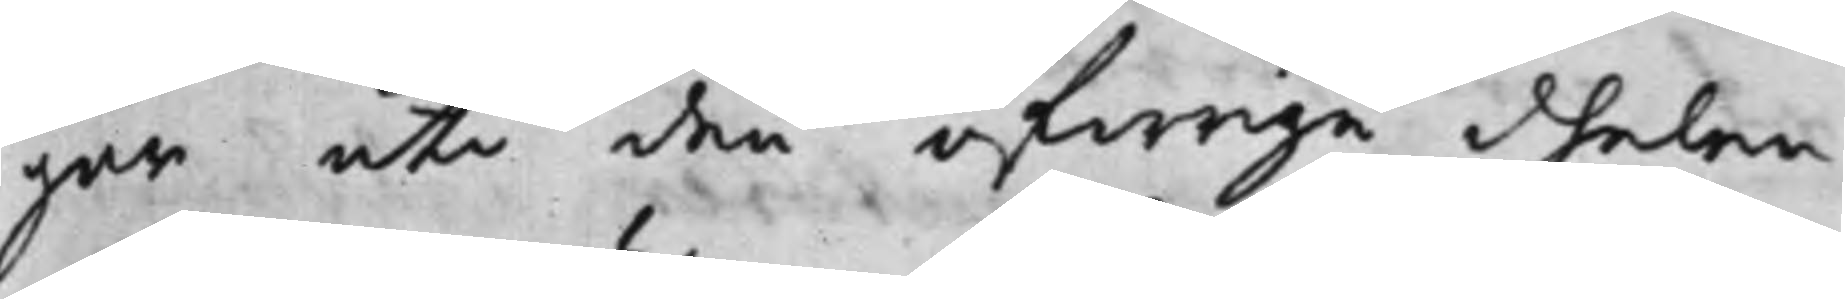gar uti den öfwrige dhelen
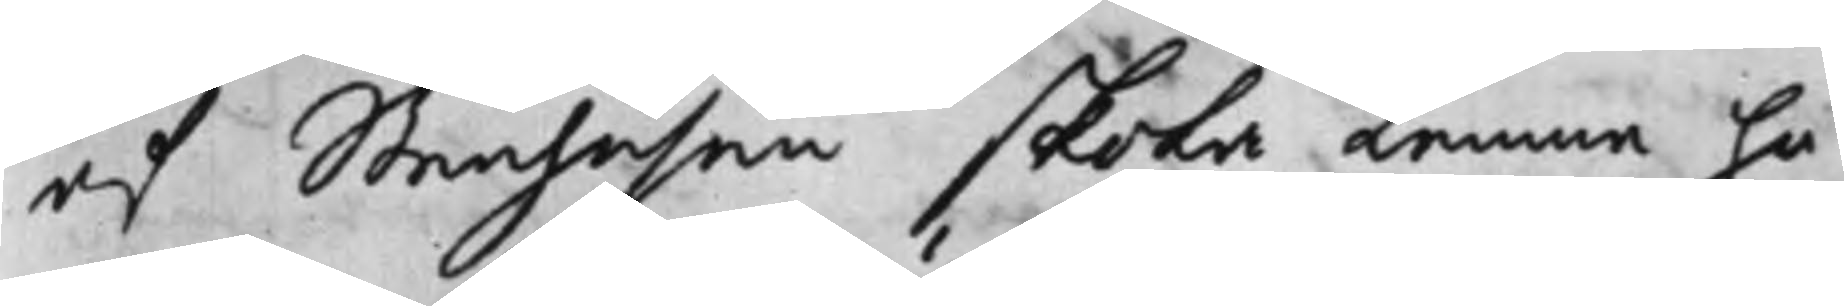af Stenhusen skola lemna ho¬
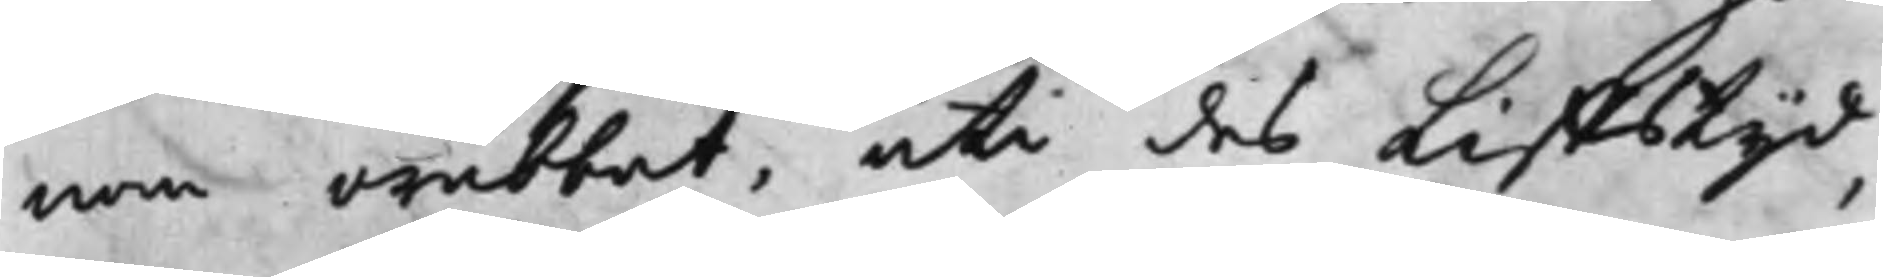nom orubbat, uti des Liffstijd,
